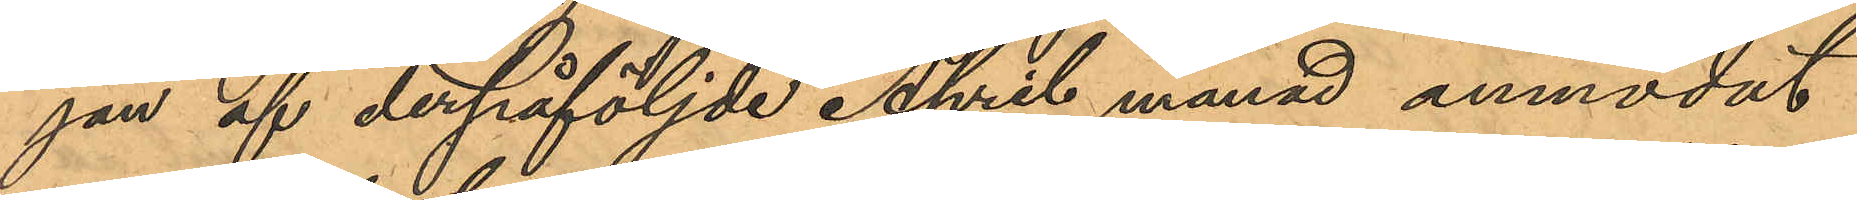jan af derpåföljde April månad anmodat
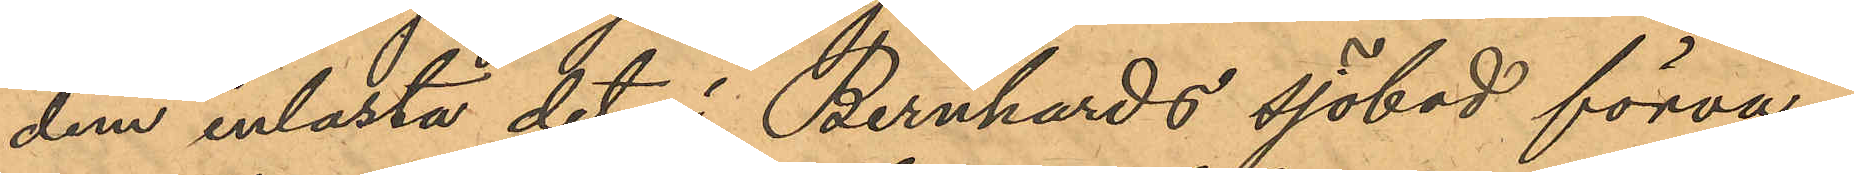dem inlasta det i Bernhards sjöbod förva¬
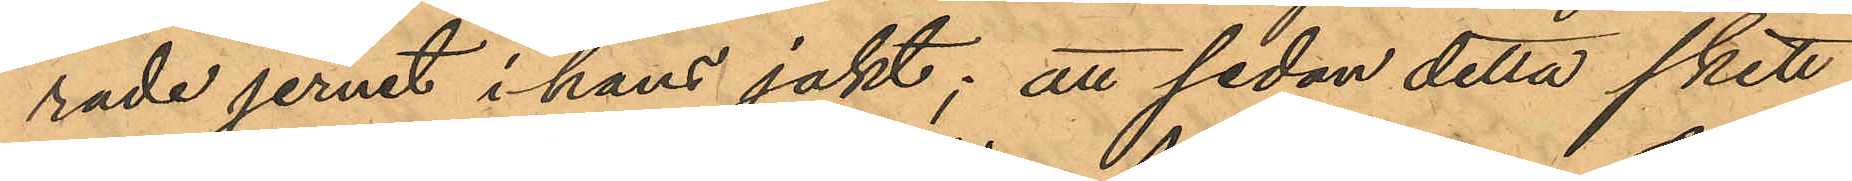rade jernet i hans jakt; att sedan detta skett,
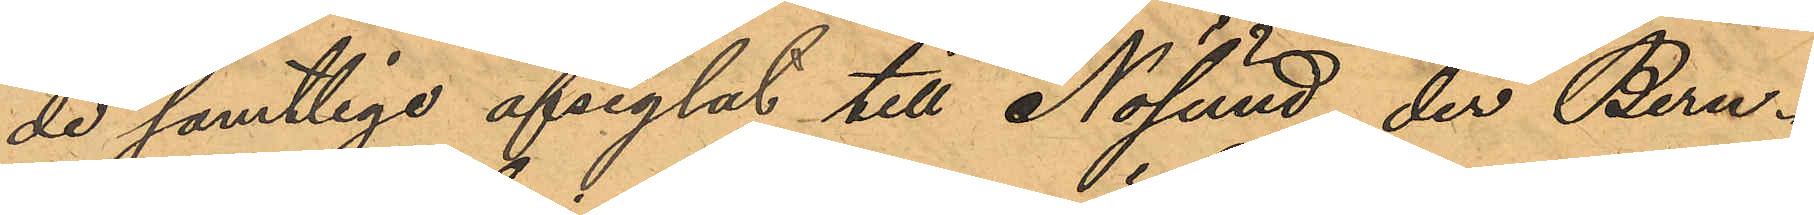de samtlige afseglat till Nösund, der Bern¬
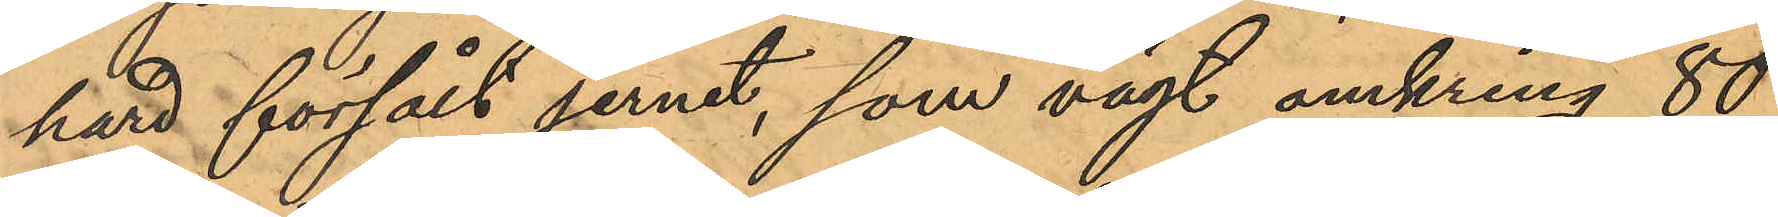hard försålt jernet, som vägt omkring 80
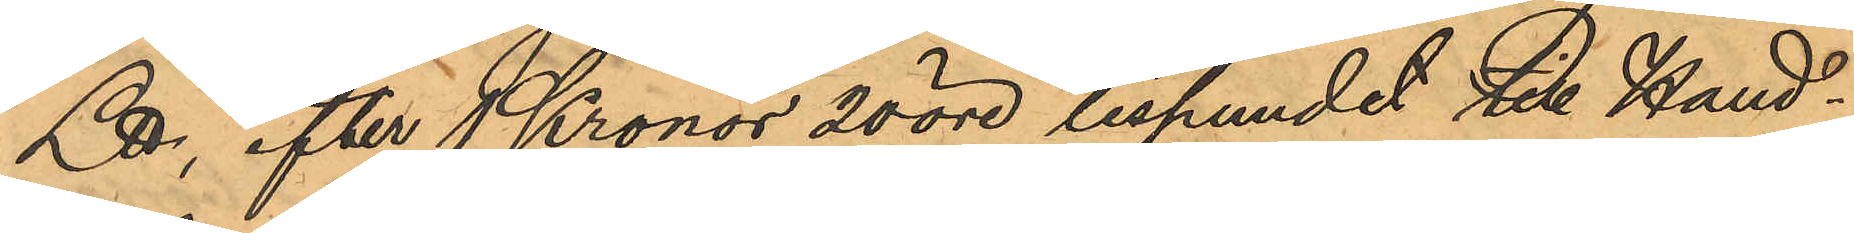℔, efter 1 Kronor 20 öre lispundet till Hand¬
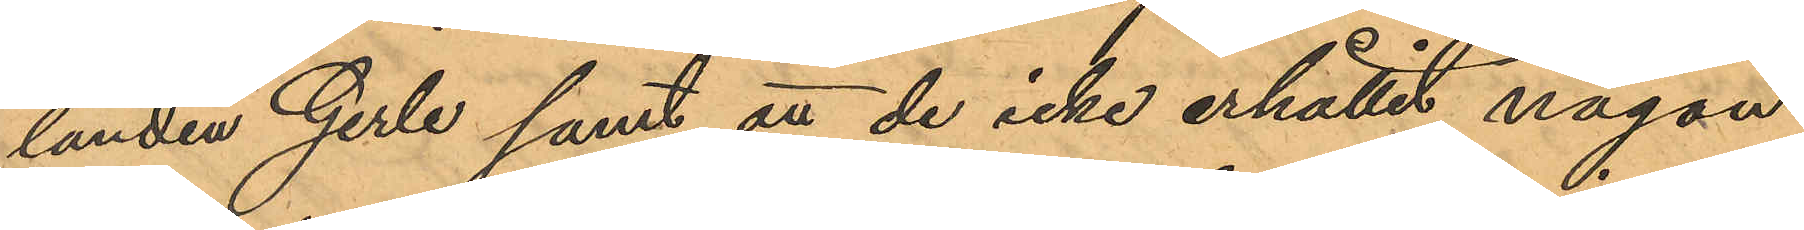landen Gerle samt att de icke erhållit någon
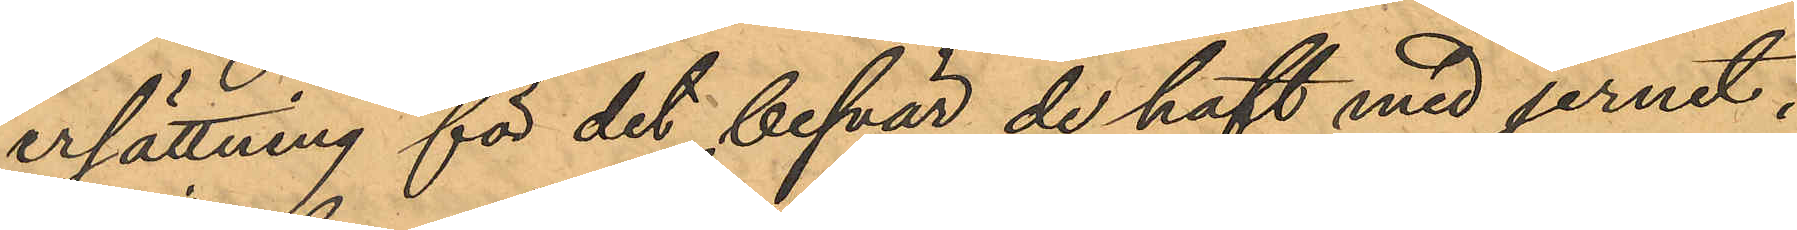ersättning för det besvär de haft med jernet.
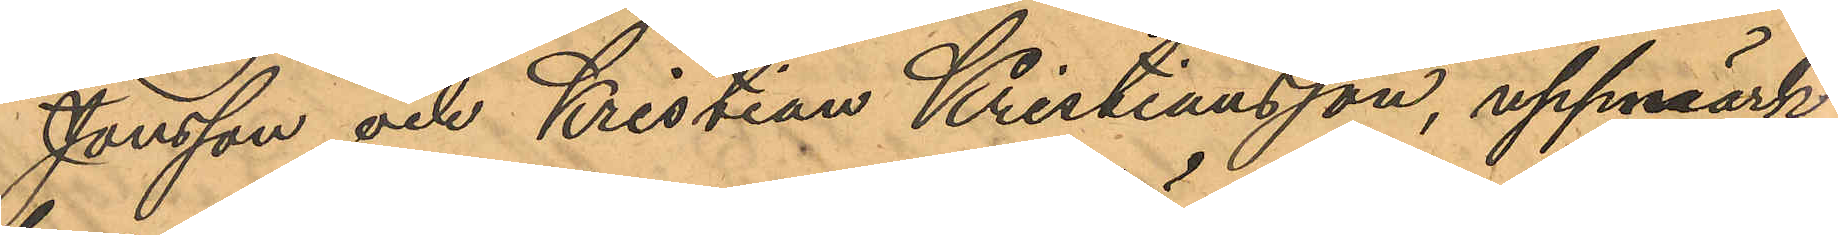Jonsson och Kristian Kristiansson, uppmärk¬
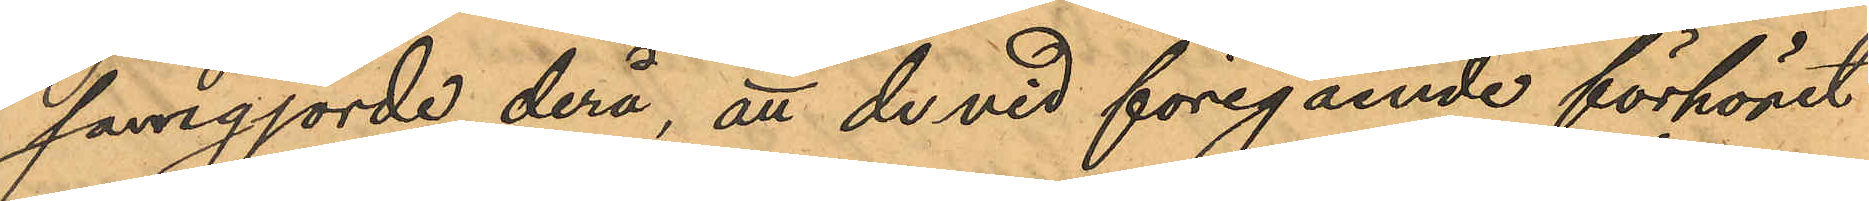samgjorde derå, att de vid föregående förhöret
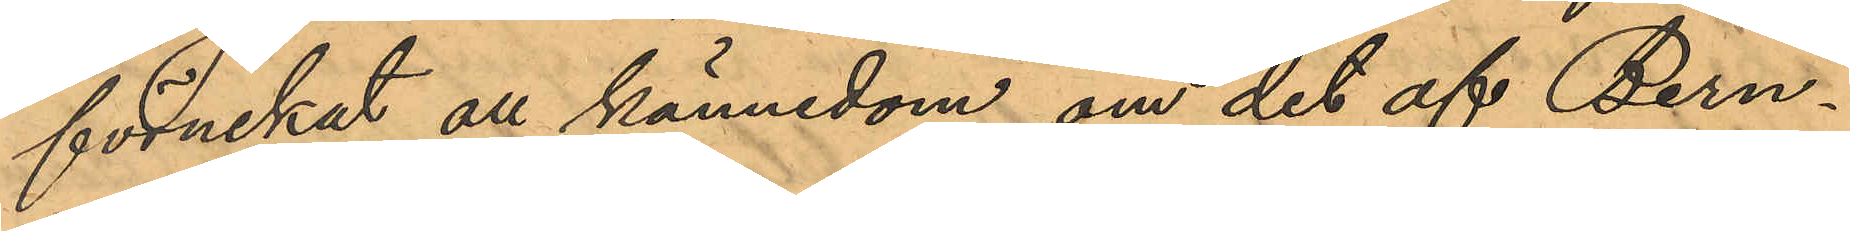förnekat all kännedom om det af Bern¬
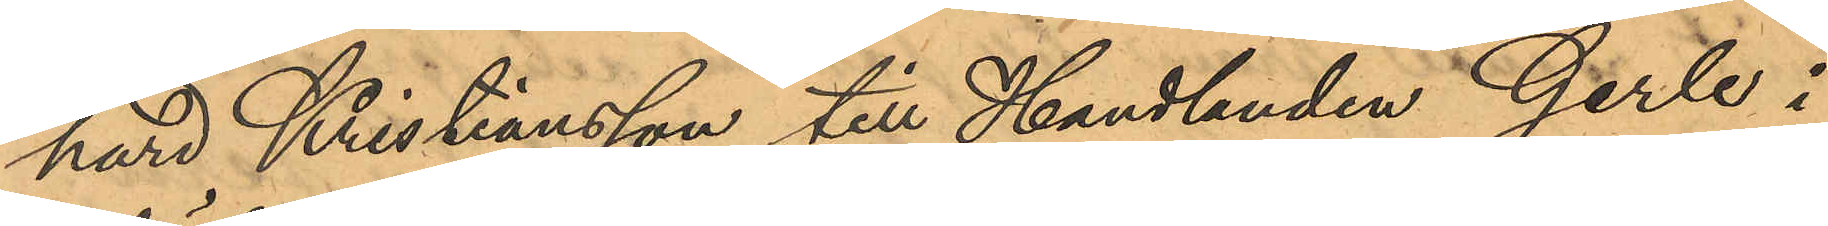hard Kristiansson till Handlanden Gerle i
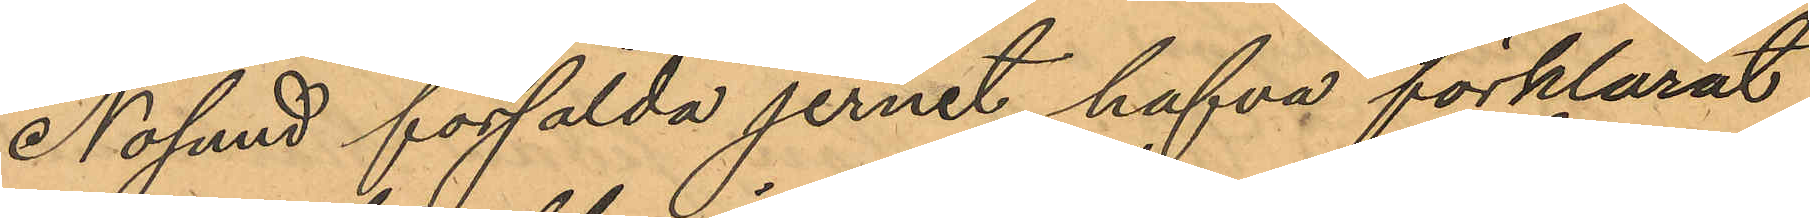Nölund försålda jernet, hafva förklarat
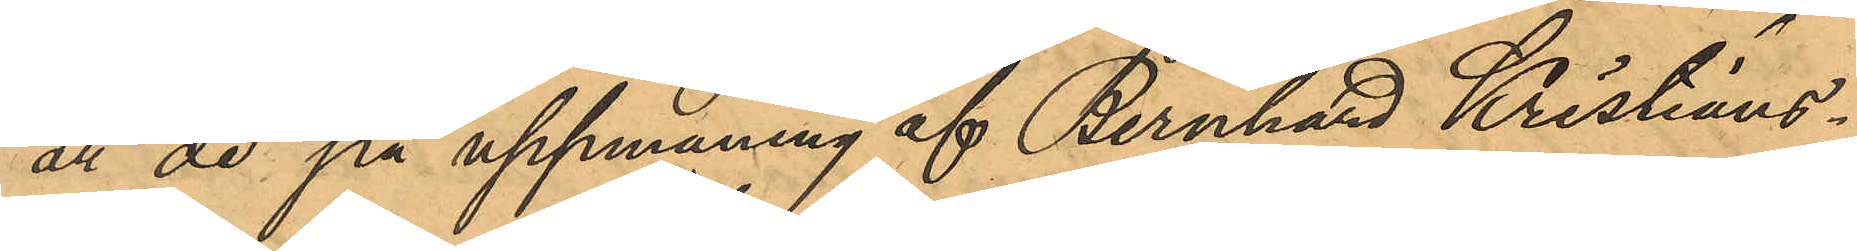att de på uppmaning af Bernhard Kristians¬
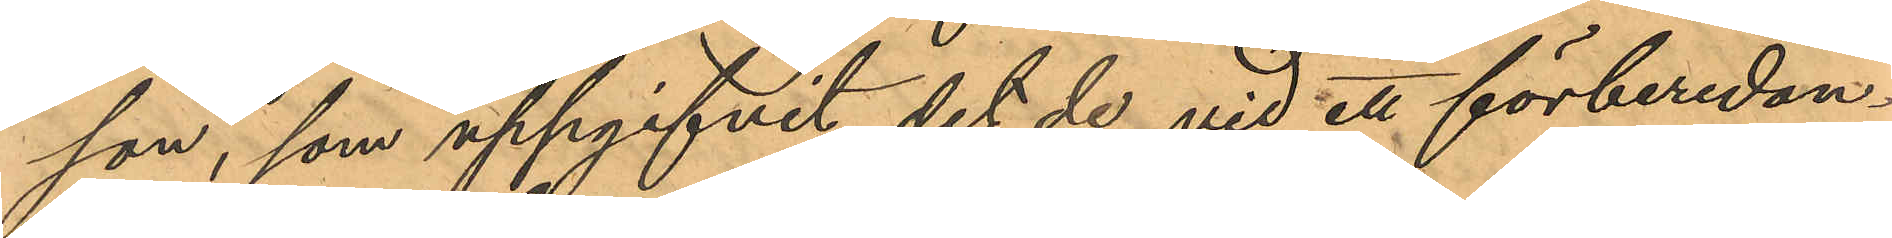son, som uppgifvit det de vid ett förberedan¬
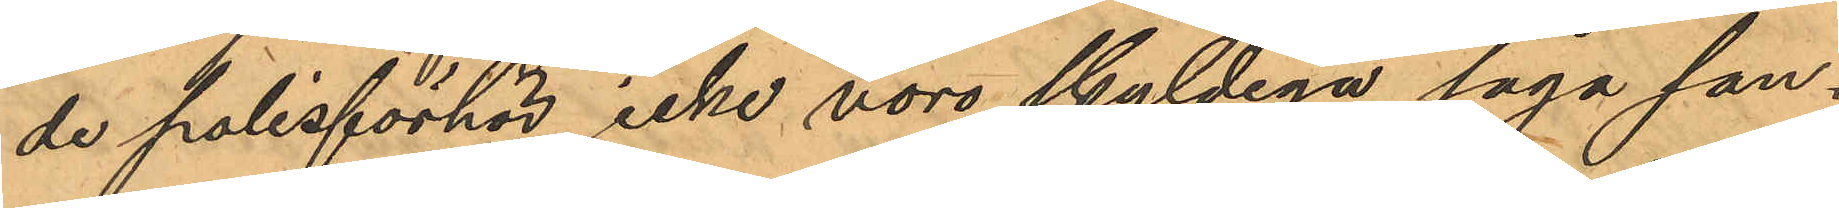de polisförhör icke voro skyldiga säga san¬
